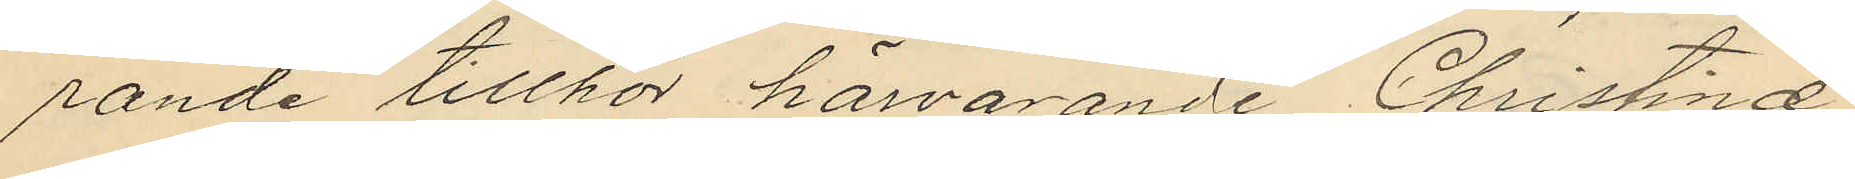rande tillhör härvarande Christinæ
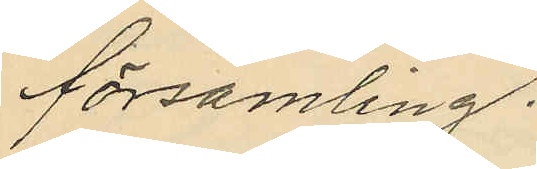församling.
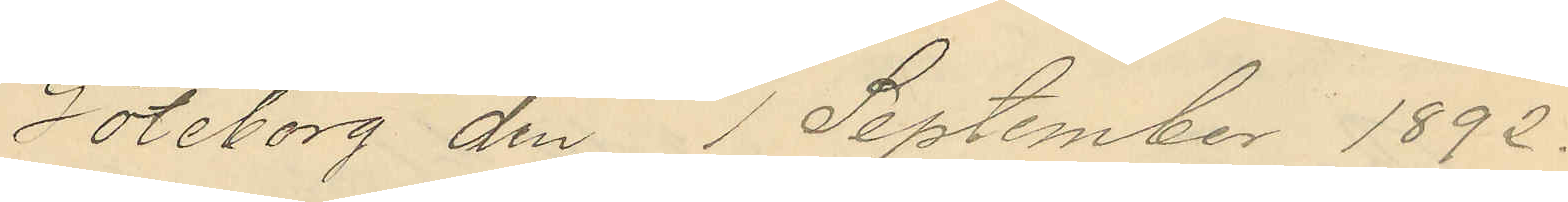Göteborg den 1 September 1892.
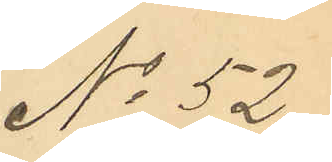No 52.
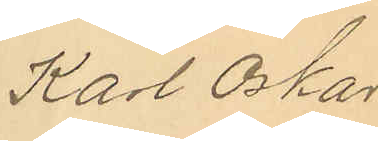Karl Oskar
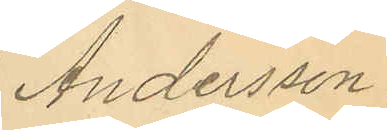Andersson.
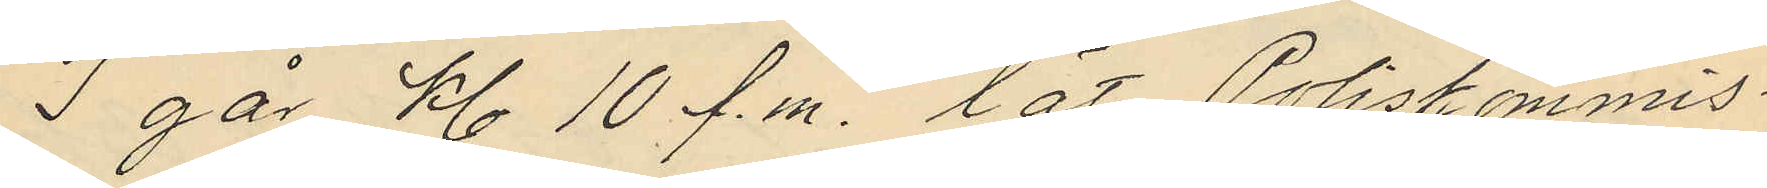I går kl 10 f.m. lät Poliskommis¬
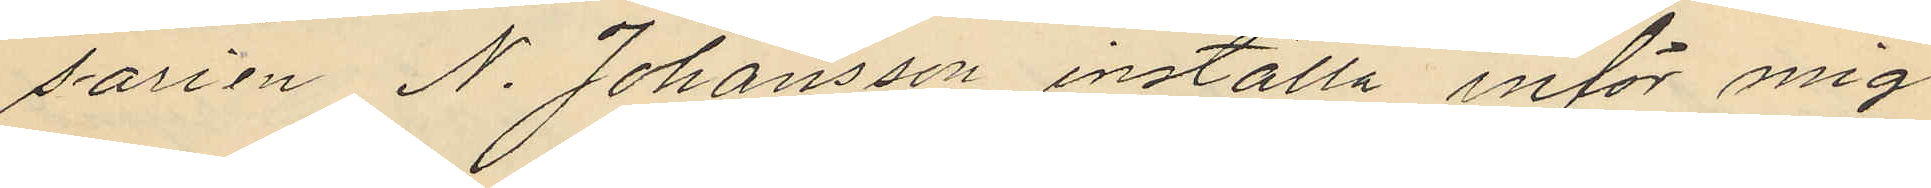sarien N. Johansson inställa inför mig
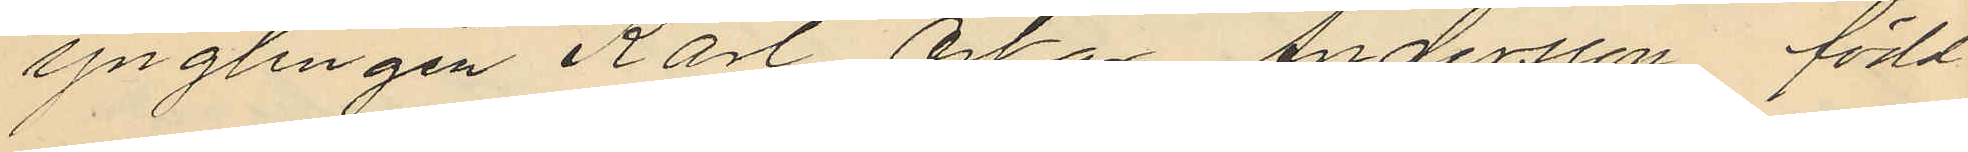ynglingen Karl Oskar Andersson, född
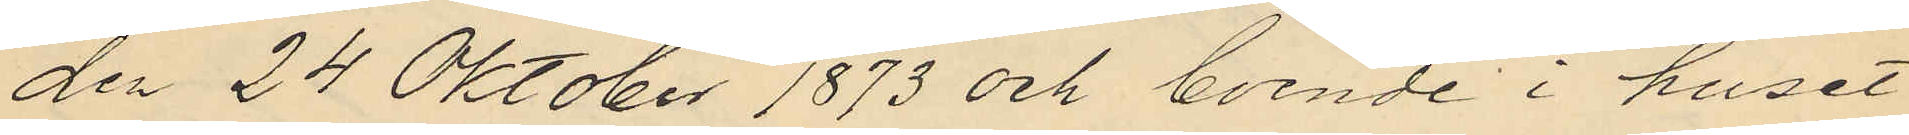den 24 Oktober 1873 och boende i huset
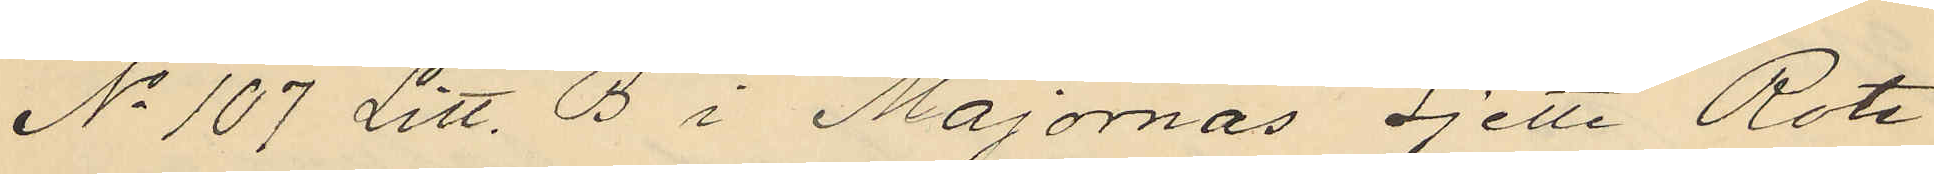No 107 Litt. B i Majornas Sjette Rote
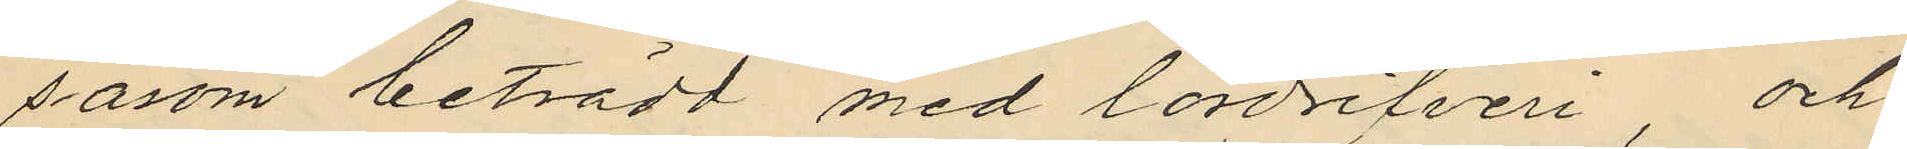såsom beträdd med lördrifveri, och
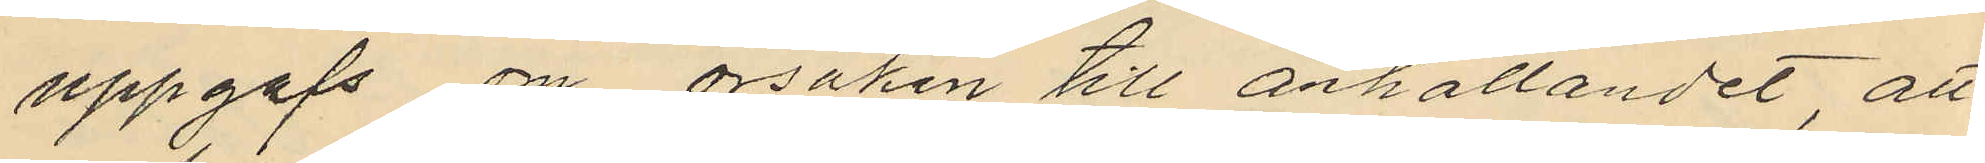uppgafs om orsaken till anhållandet, att
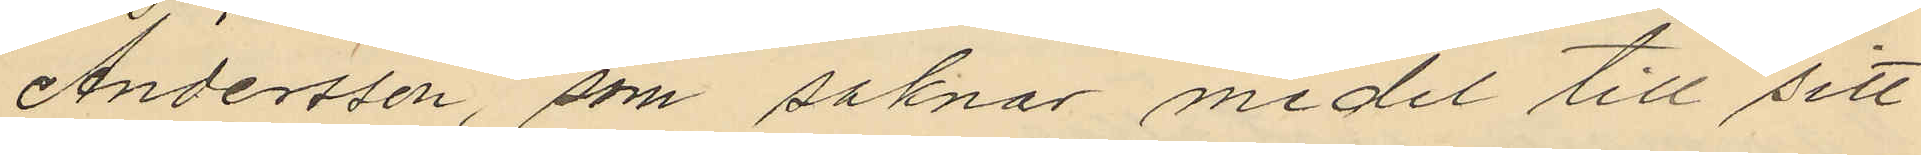Andersson, som saknar medel till sitt
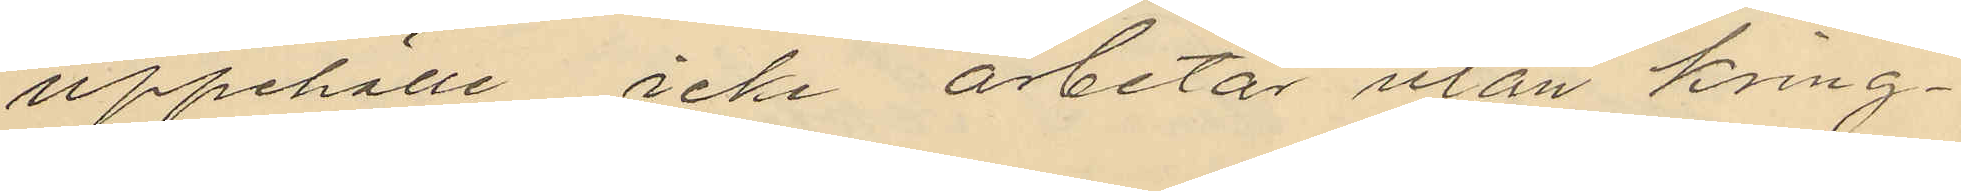uppehälle icke arbetar utan kring¬
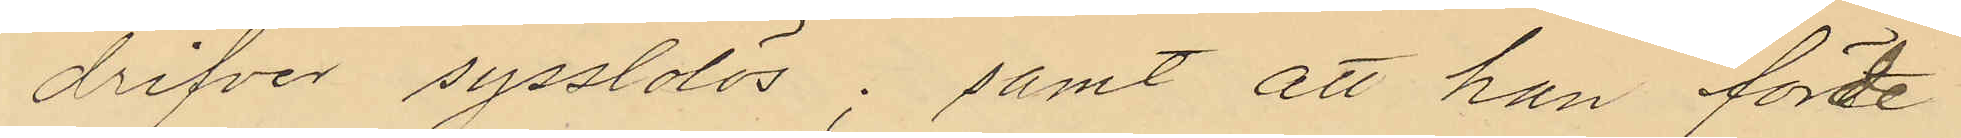drifver sysslolös; samt att han förde
